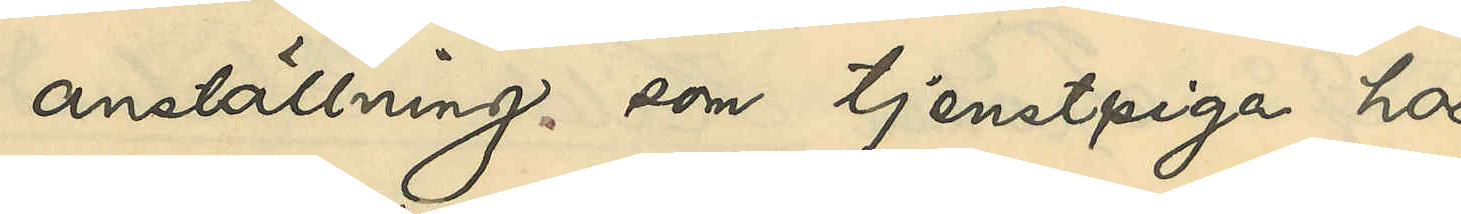anställning som tjenstepiga hos
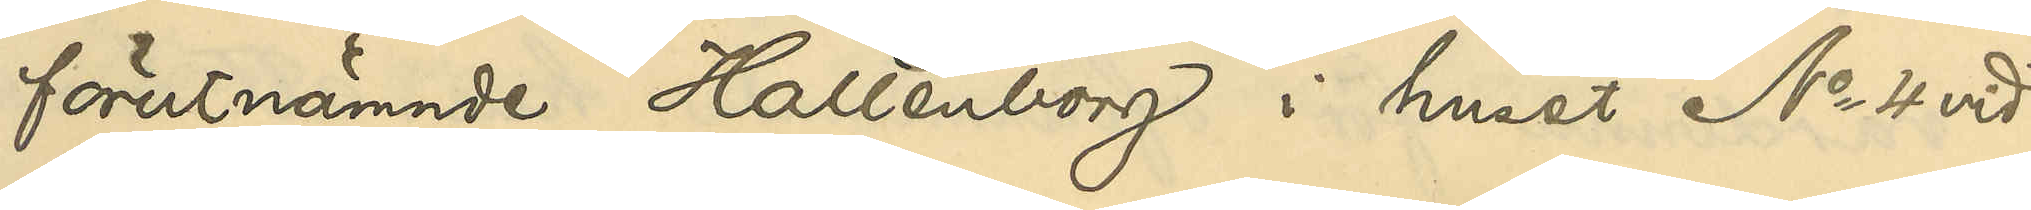förutnämnde Hallenborg i huset No 4 vid
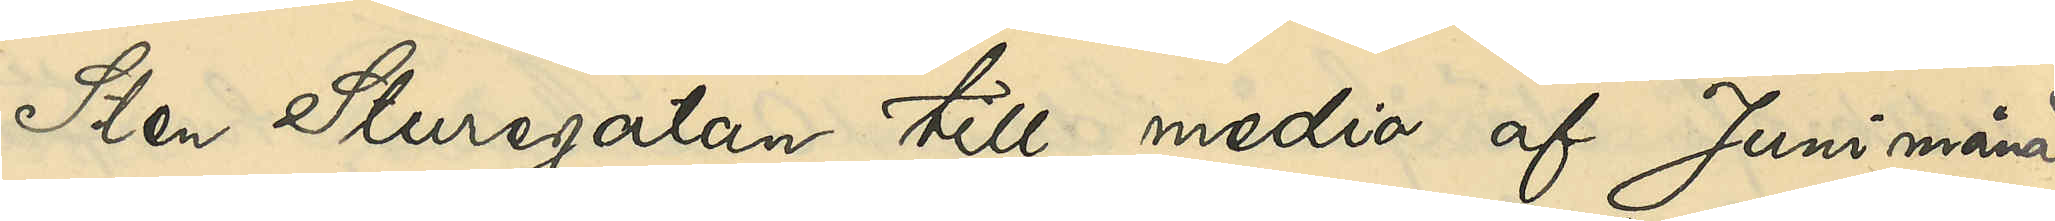Sten Sturegatan till medio af Juni månad
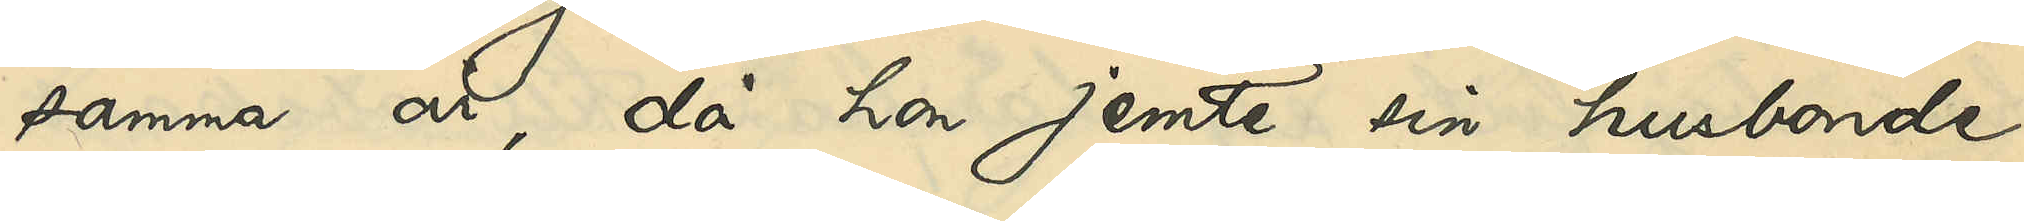samma år, då hon jemte sin husbonde
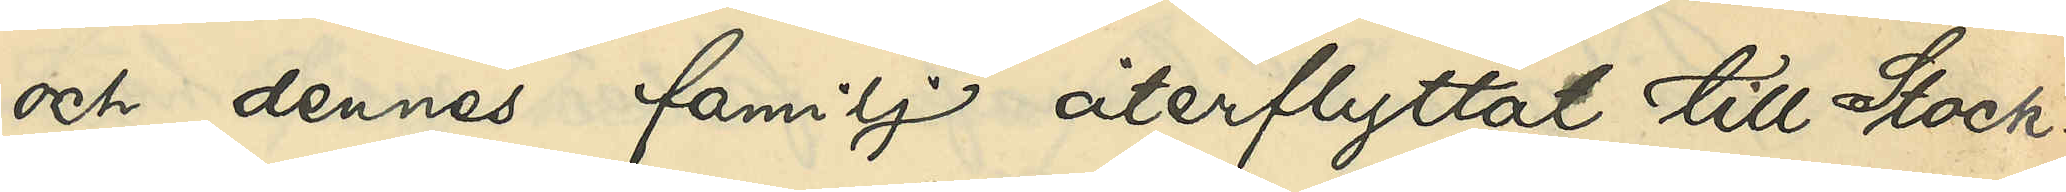och dennes familj återflyttat till Stock¬
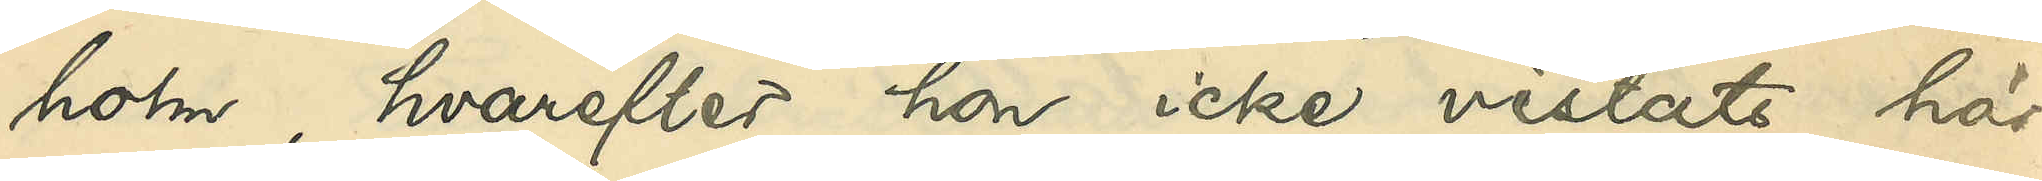holm, hvarefter hon icke vistats här
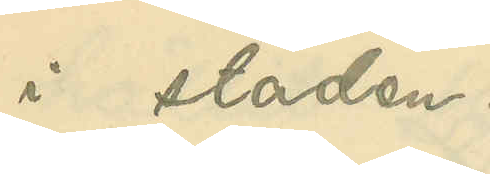i staden.
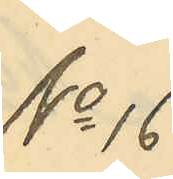No 16
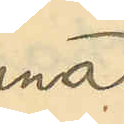Anna
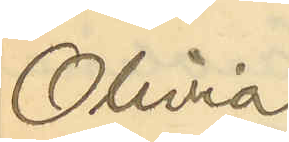Olivia
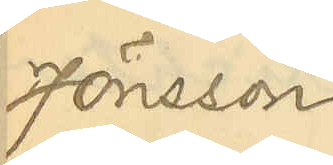Jönsson
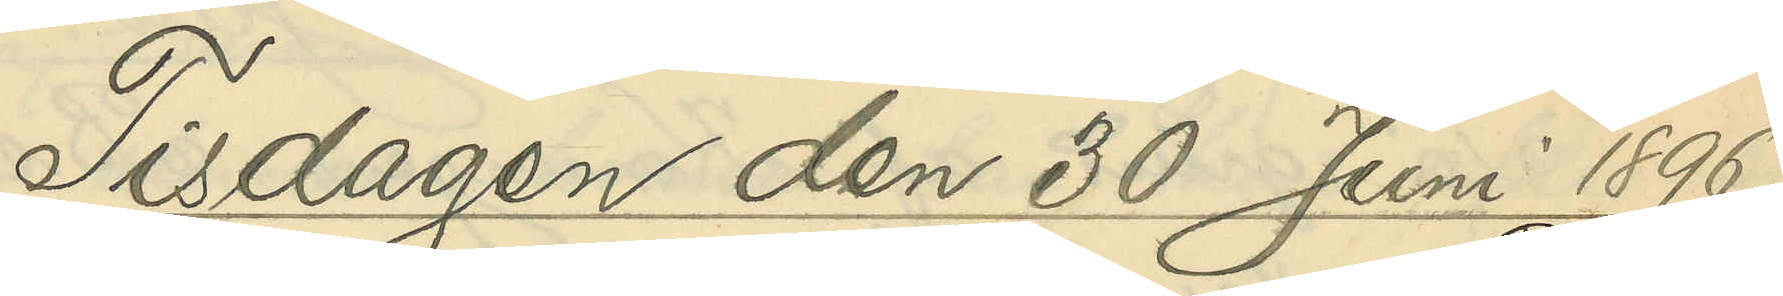Tisdagen den 30 Juni 1896.
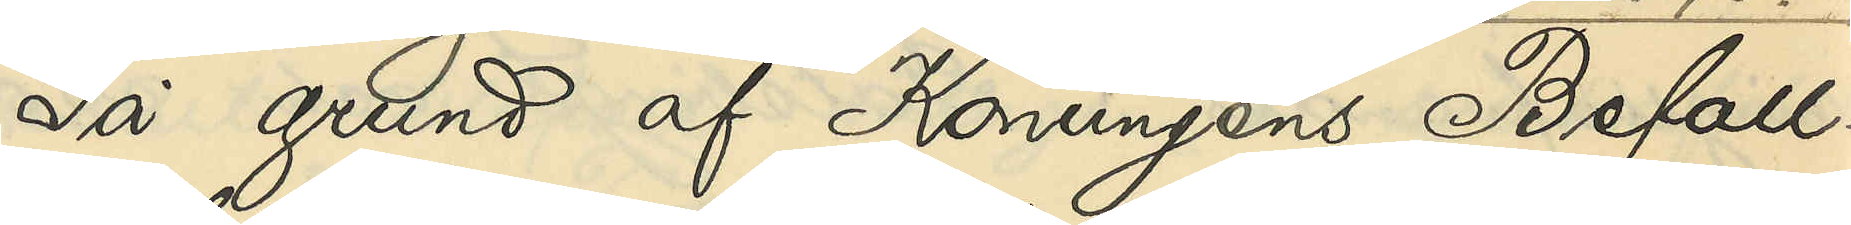På grund af Konungens Befall¬
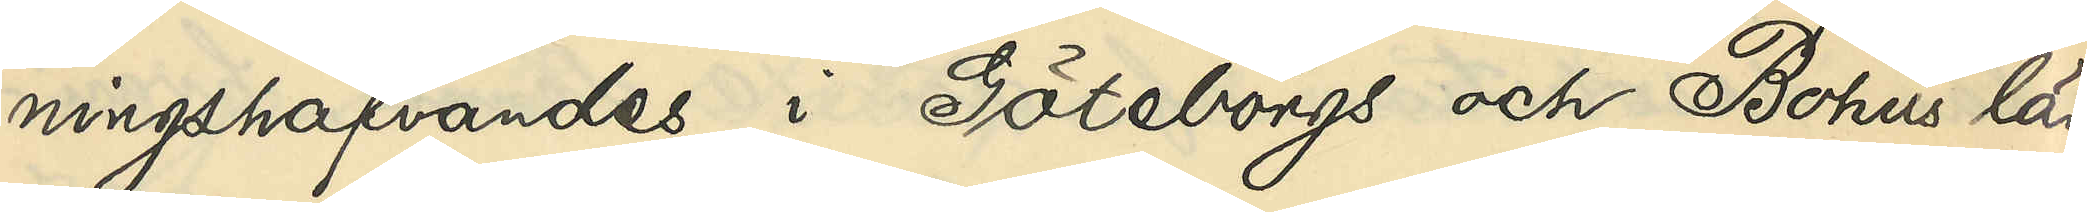ningshafvandes i Göteborgs och Bohus län
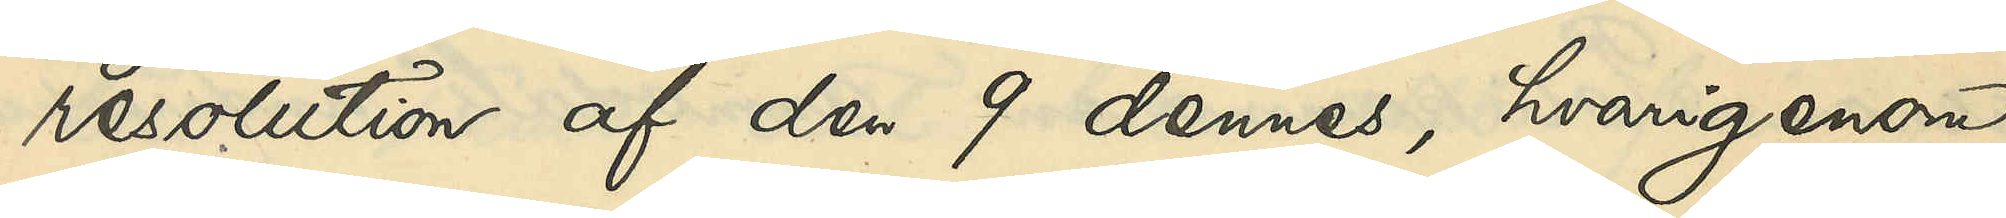resolution af den 9 dennes, hvarigenom
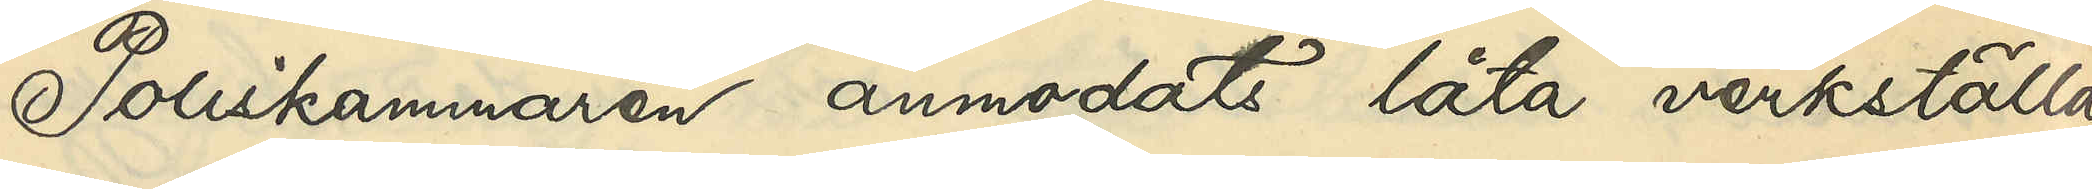Poliskammaren anmodats låta verkställa
